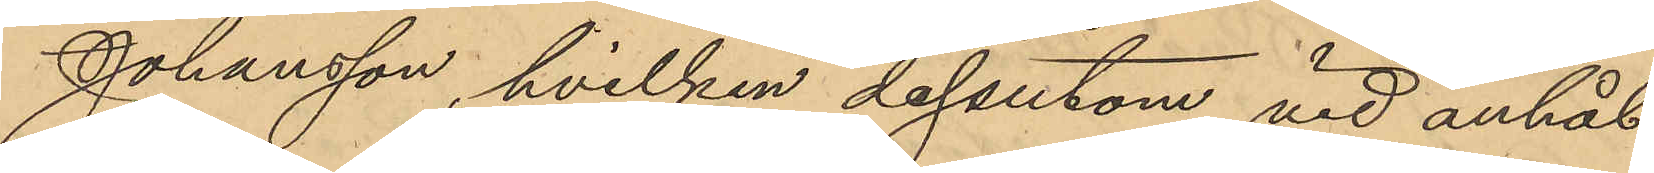Johansson, hvilken dessutom vid anhål¬
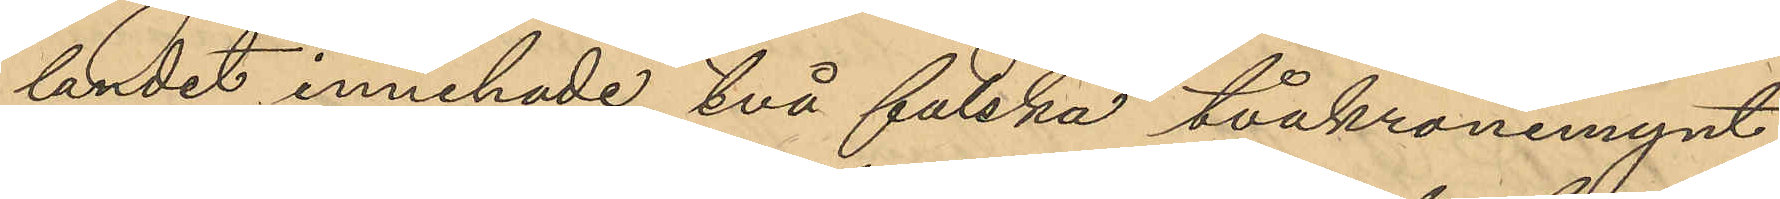landet innehade två falska tvåkronemynt,
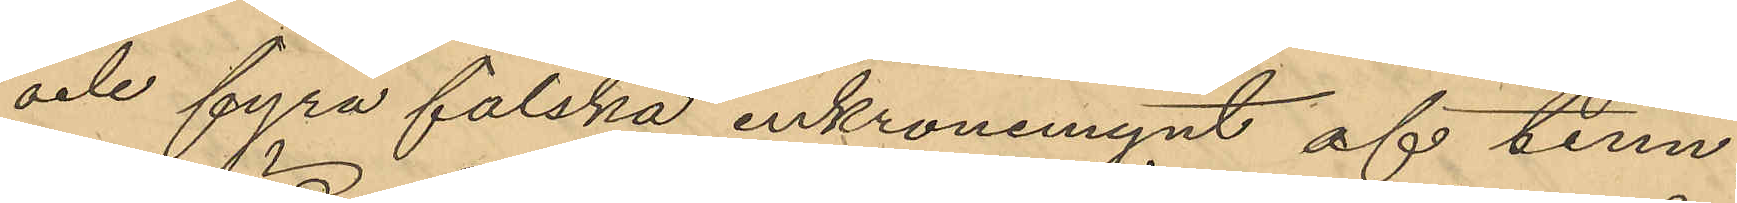och fyra falska enkronemynt af tenn,
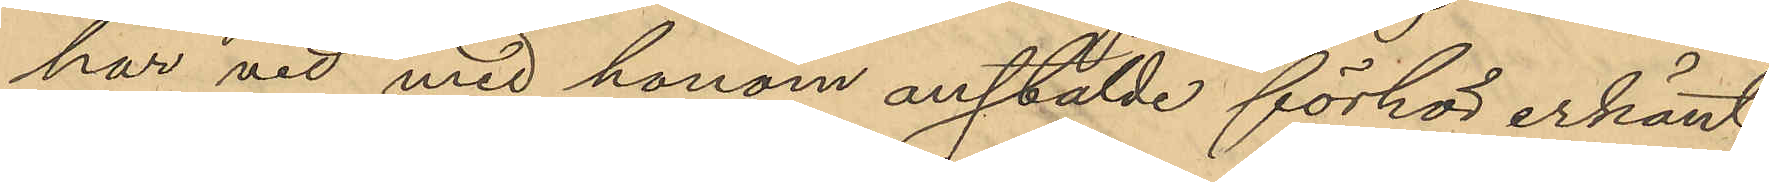har vid med honom anstälde förhör erkänt
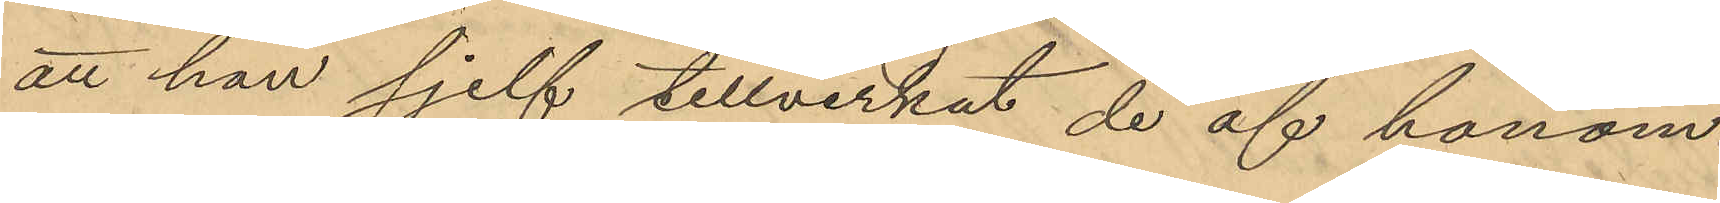att han sjelf tillverkat de af honom
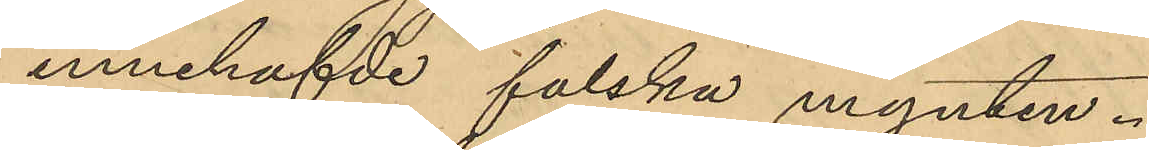innehafde falska mynten.
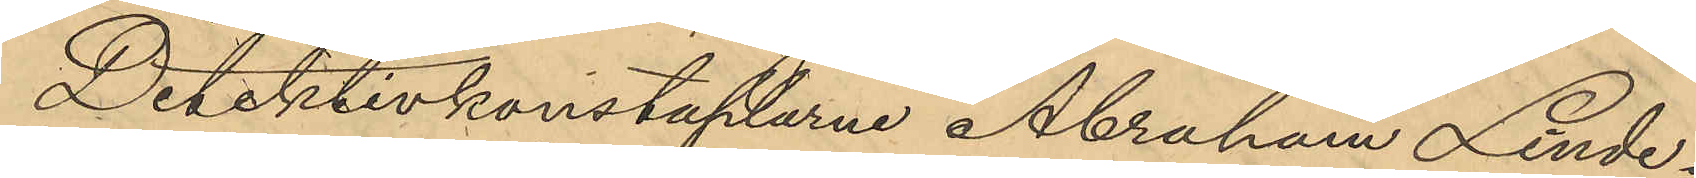Detektivkonstaplarne Abraham Linde¬
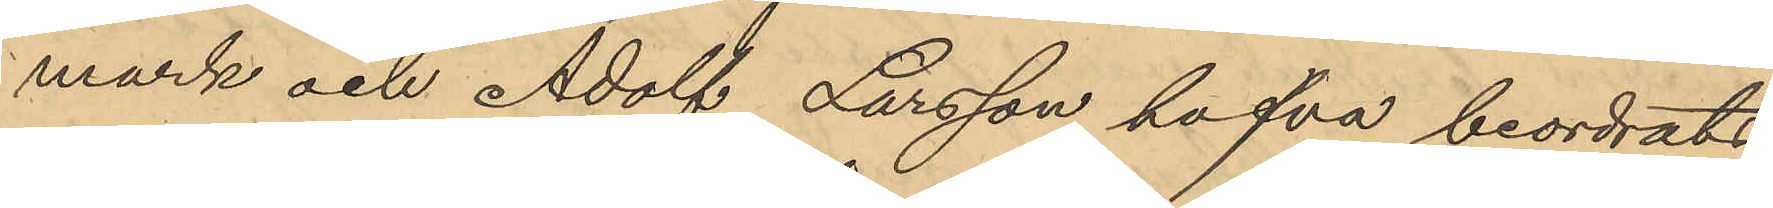mark och Adolf Larsson hafva beordrats
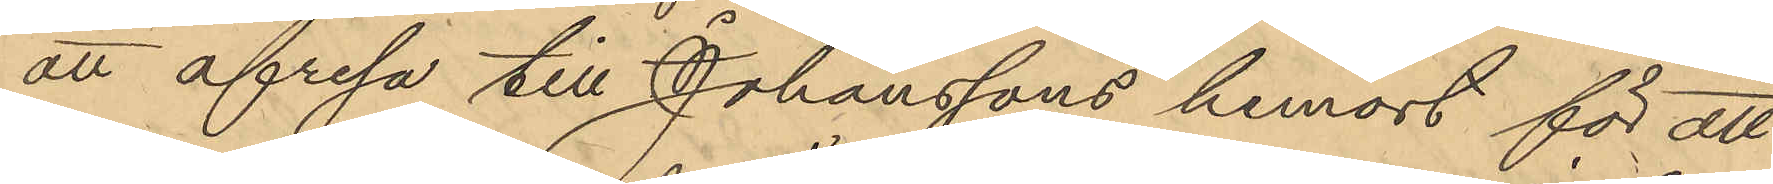att afresa till Johanssons hemort för att
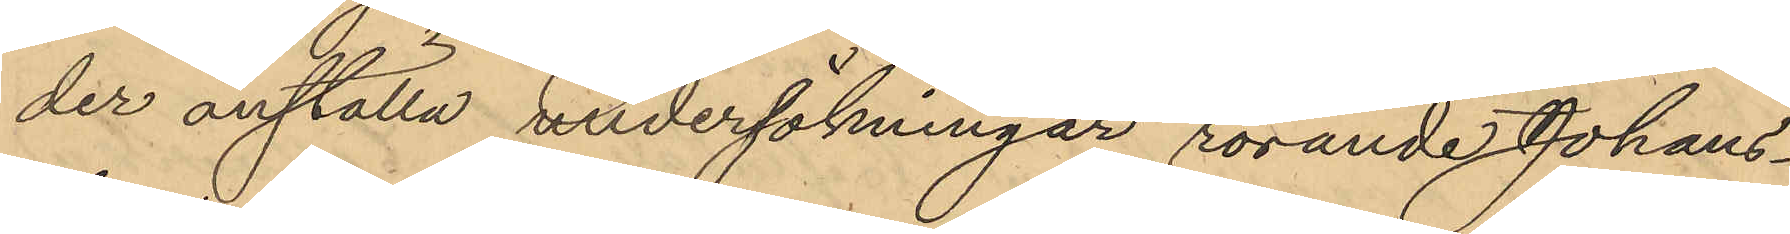der anställa undersökningar rörande Johans¬
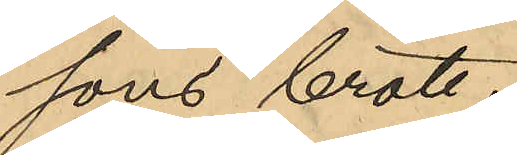sons brott.
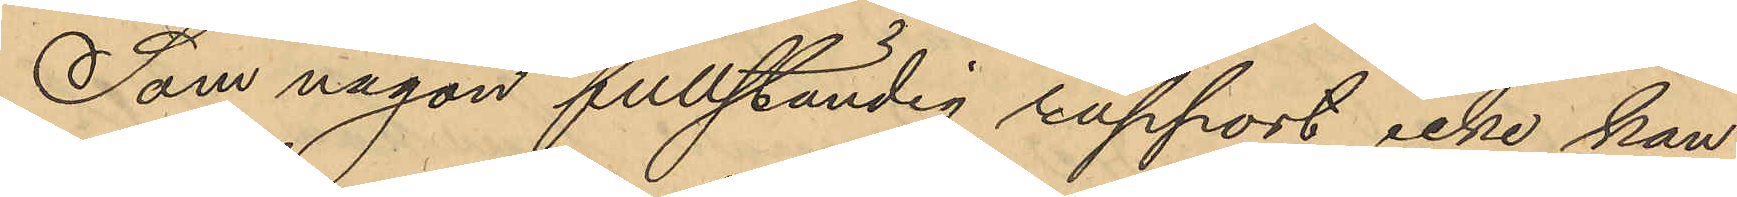Som någon fullständig rapport icke kan
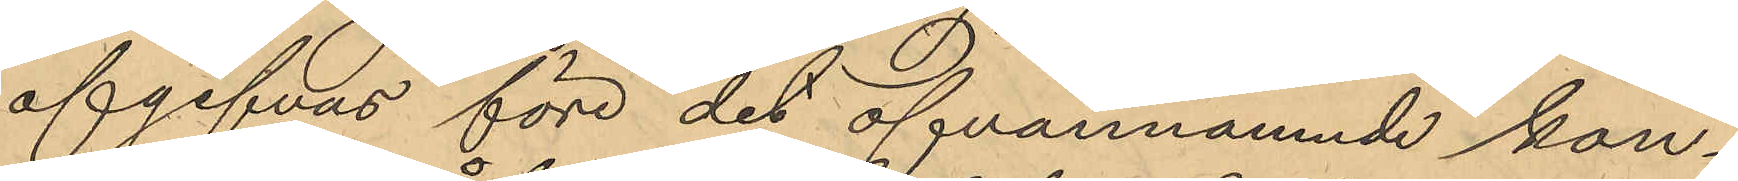afgifvas före det ofvannämnde kon¬
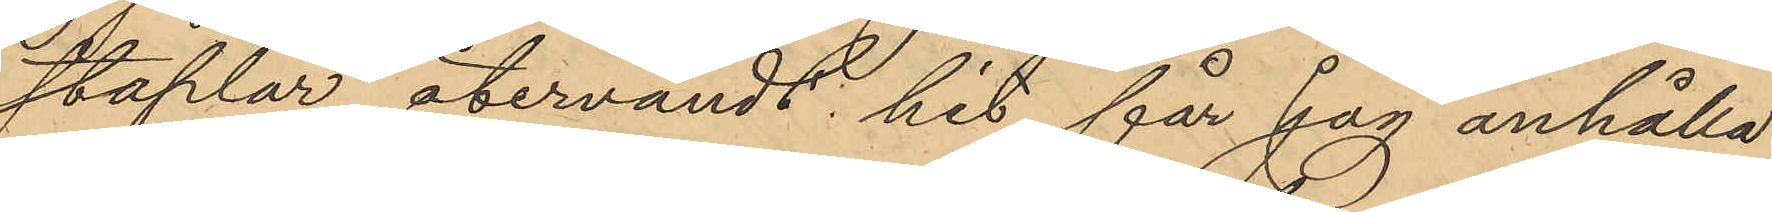staplar återvändt hit får jag anhålla
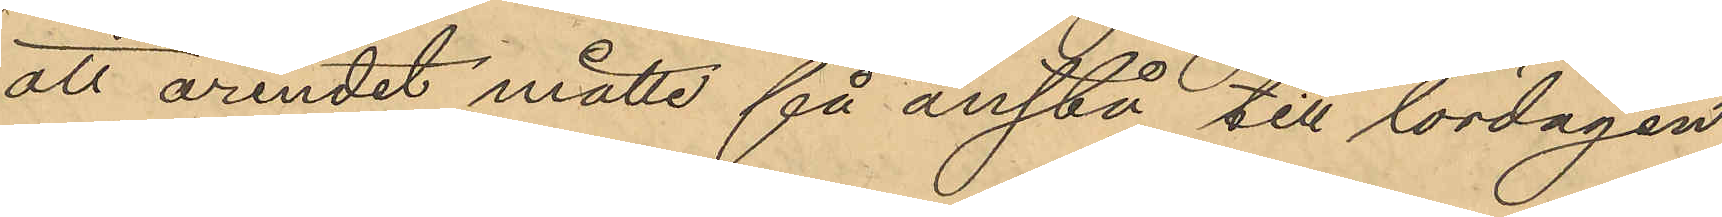att ärendet måtte få anstå till lördagen
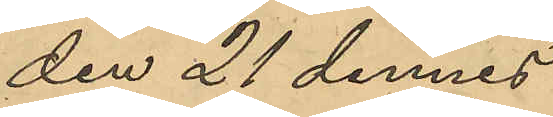den 21 dennes
